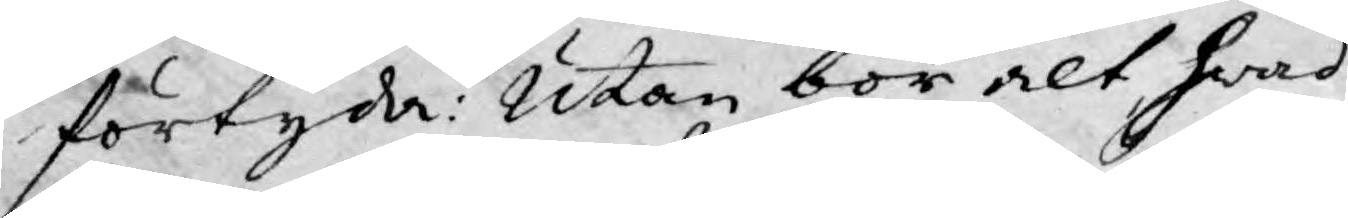förtyda: Utan bör alt hwad
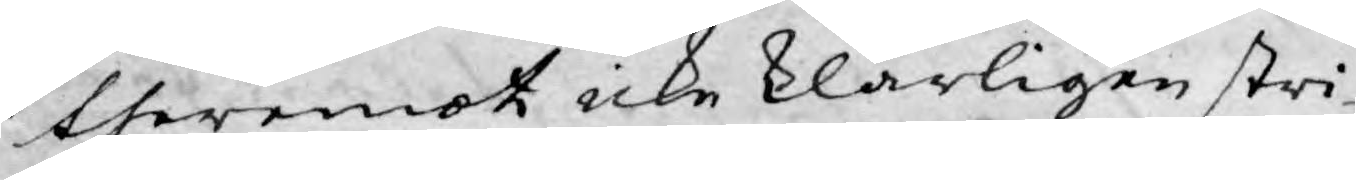theremot icke klarligen stri¬
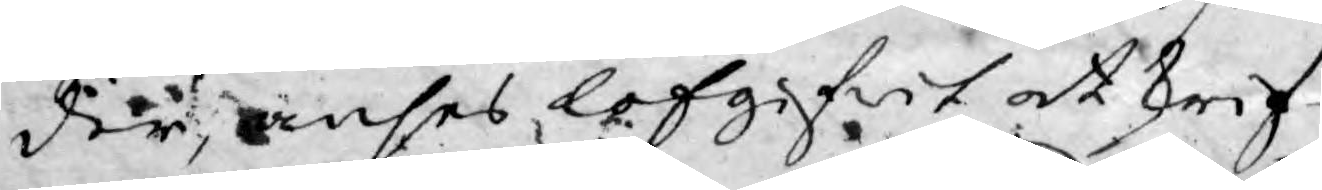der, anses lofgifwit at skrif¬
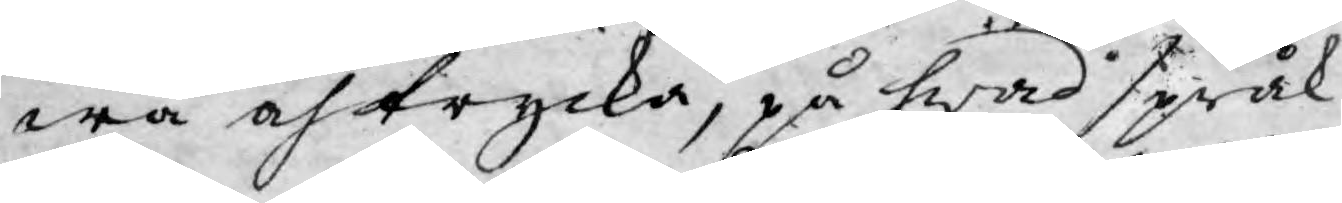wa och trycka, på hwad språk
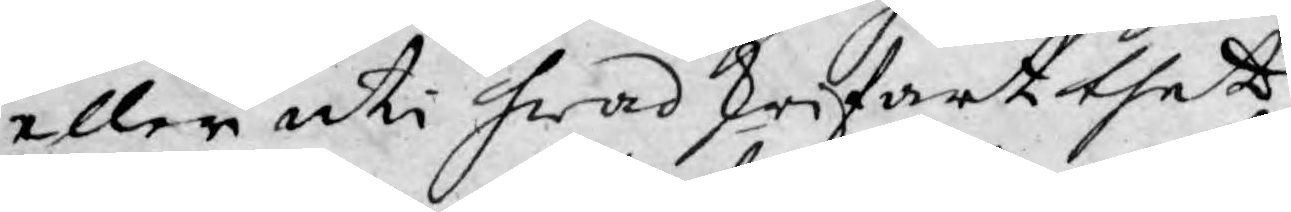eller uti hwad skrifart thet
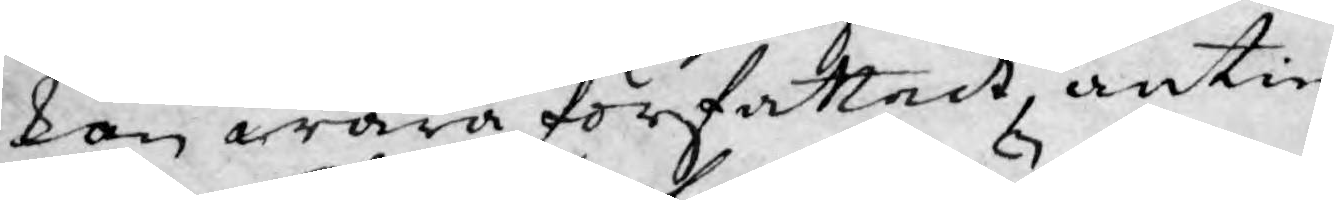kan wara författadt, antin¬
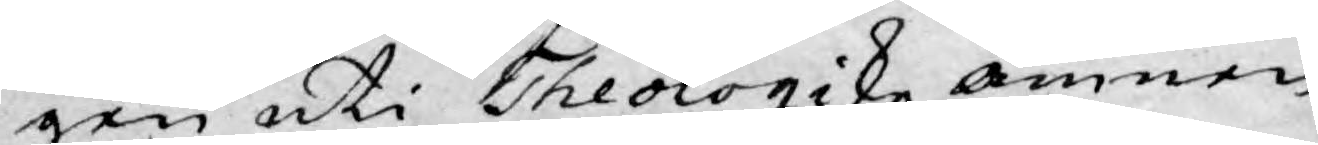gen uti Theologiske ämnen,
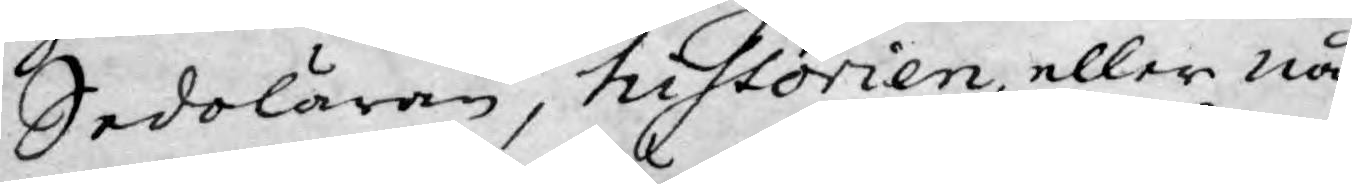Sedoläran, historien, eller nå¬
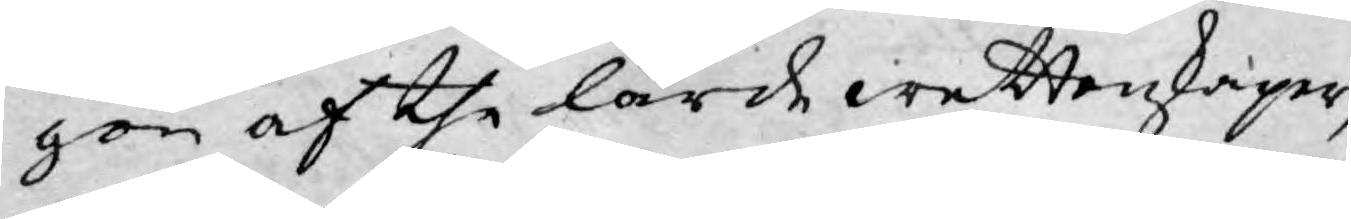gon af the lärde wettenskaper,
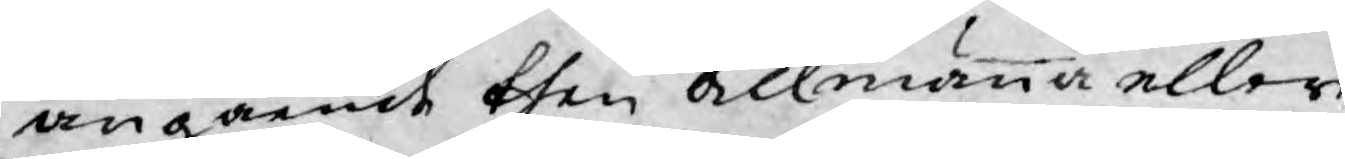angående then allmänna eller
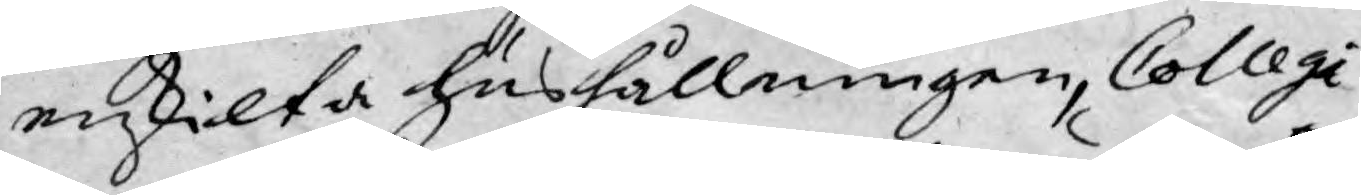enskilta hushållningen, Collegi¬
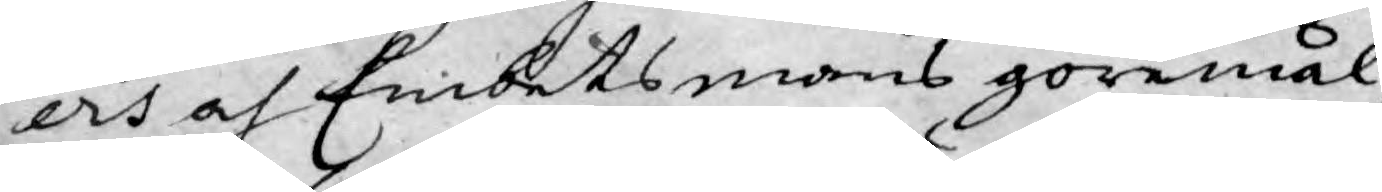ers och Embetsmans göremål,
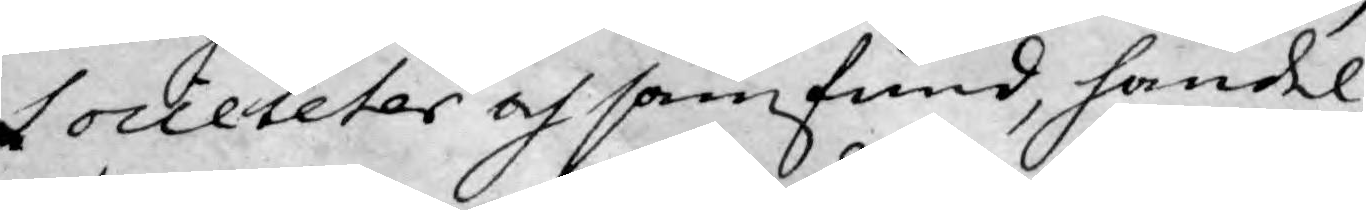Sociteter och samfund, handel,
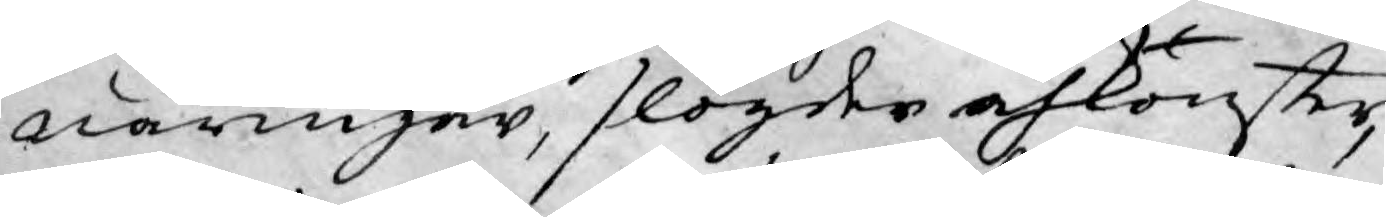näringar, slögder och konster,
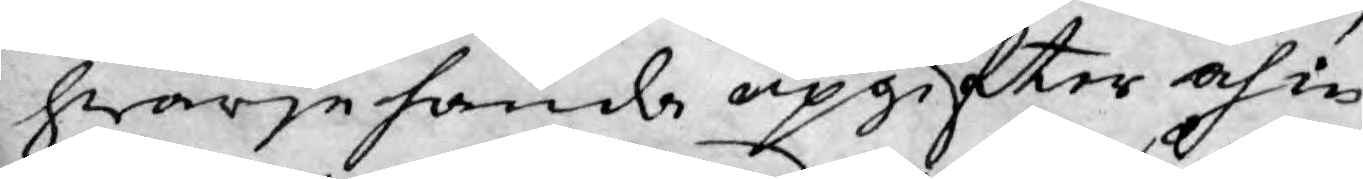hwarje handa upgifter och in¬
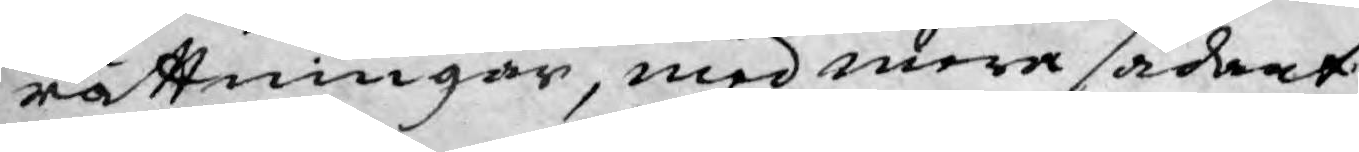rättningar, med mera sådant
